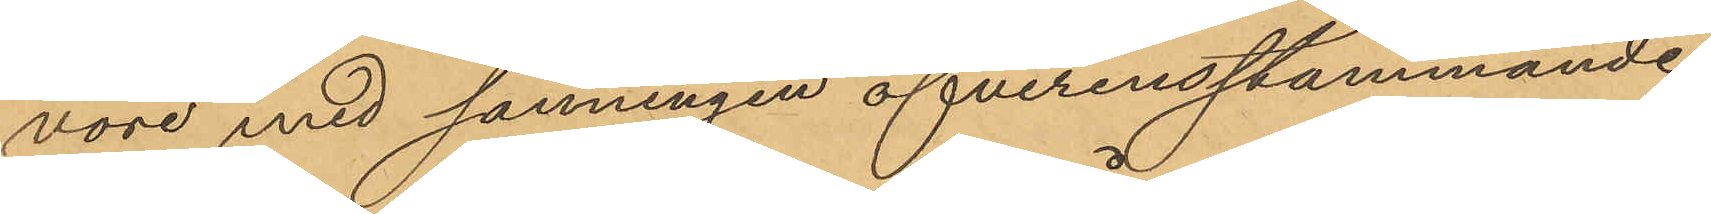vore med sanningen öfverensstämmande,
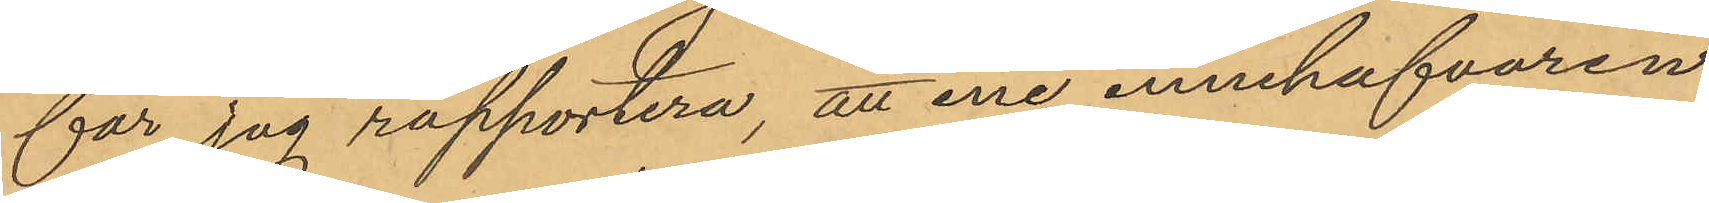får jag rapportera, att ene innehafvaren
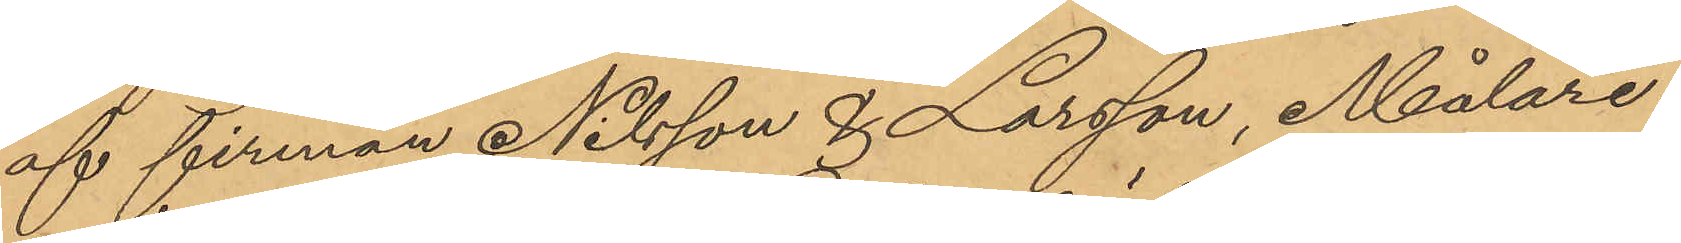af firman Nilsson & Larsson, Målare¬
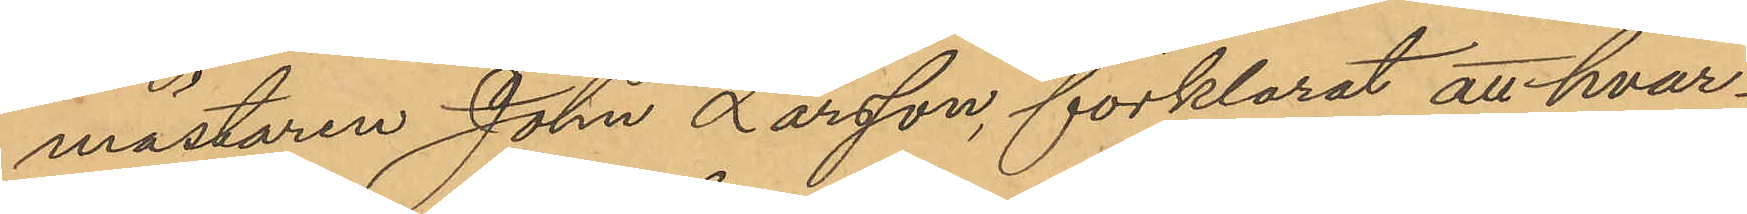mästaren John Larsson, förklarat att hvar¬
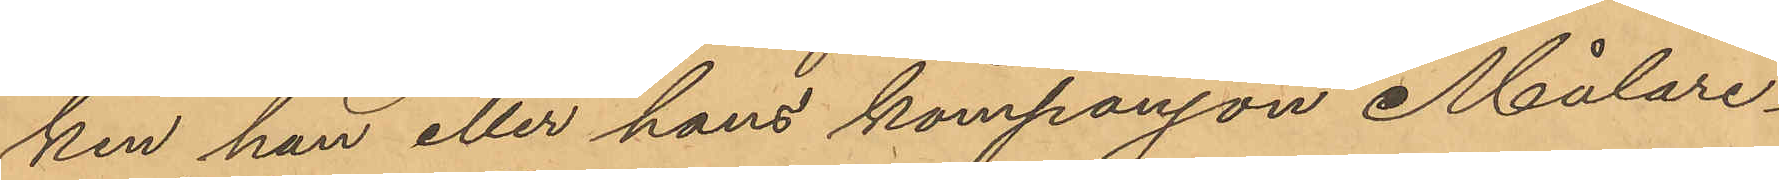ken han eller hans kompanjon Målare¬
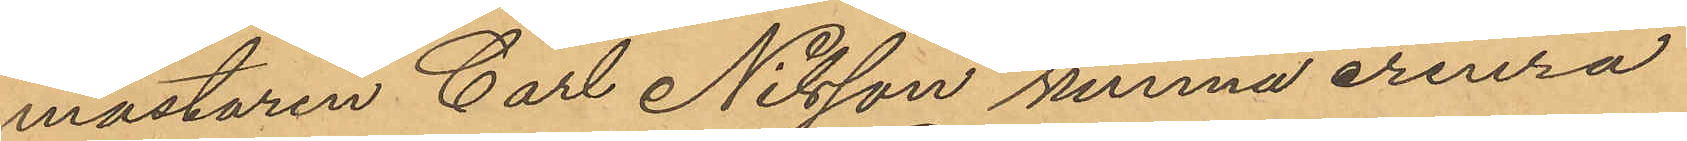mästaren Carl Nilsson kunna erinra
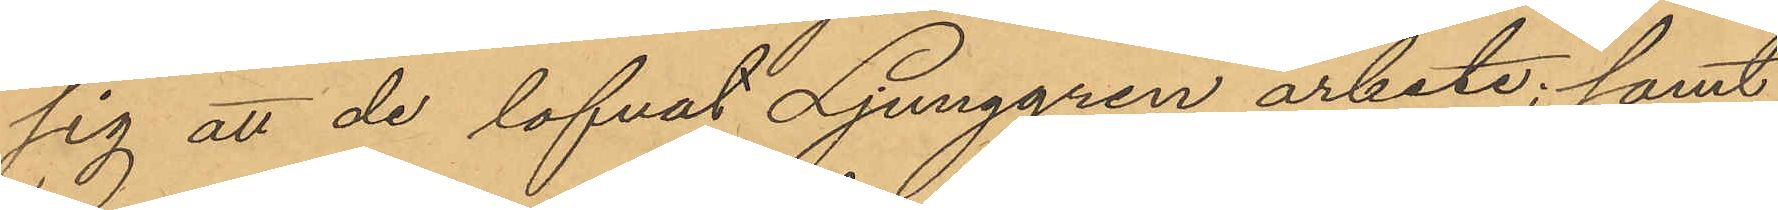sig att de lofvat Ljunggren arbete; samt
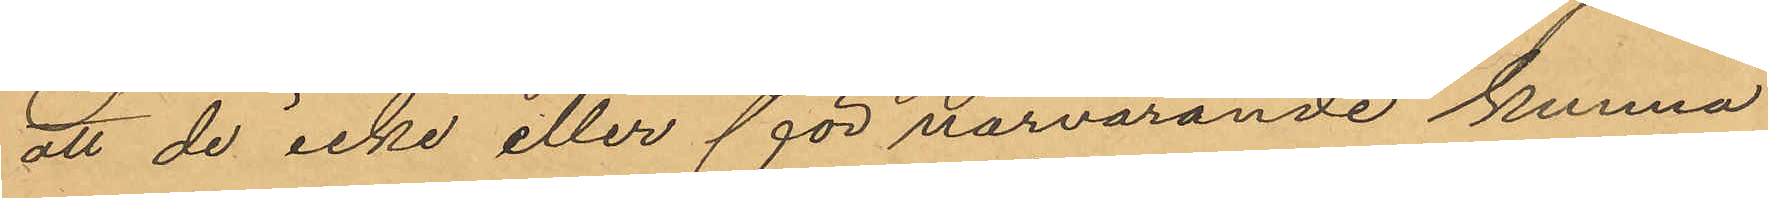att de icke eller för närvarande kunna
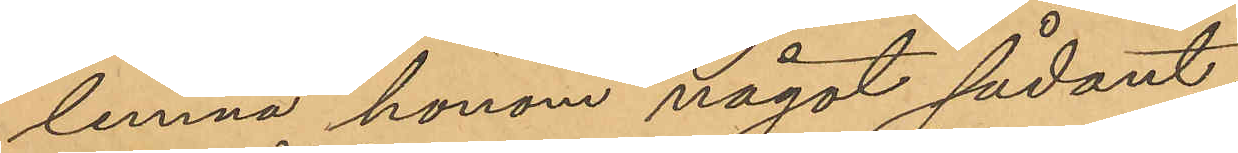lemna honom något sådant
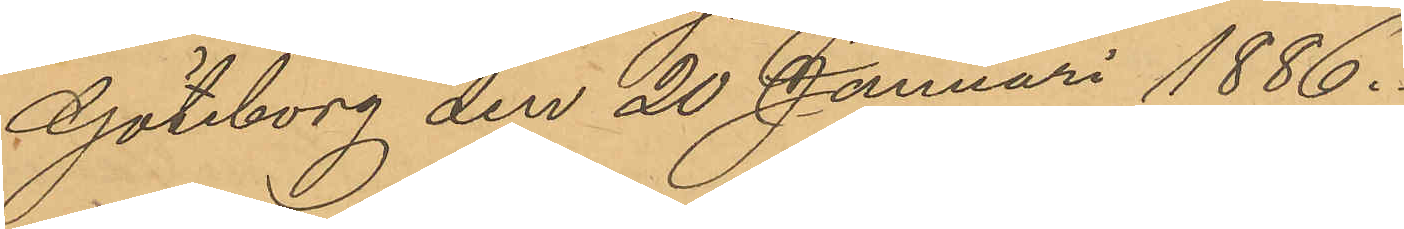Göteborg den 20 Januari 1886.
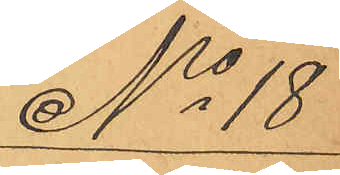No 18
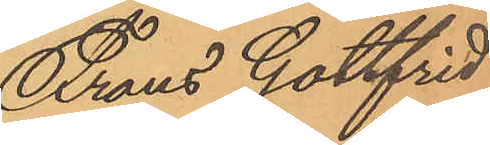Frans Gottfrid
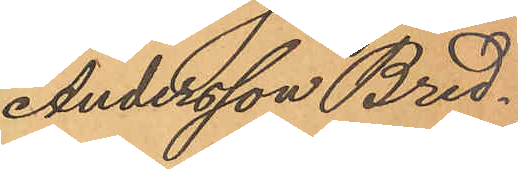Andersson Bred¬
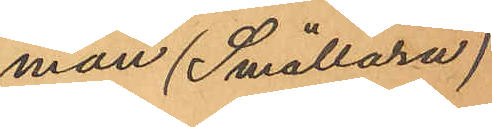man (Smällarn)
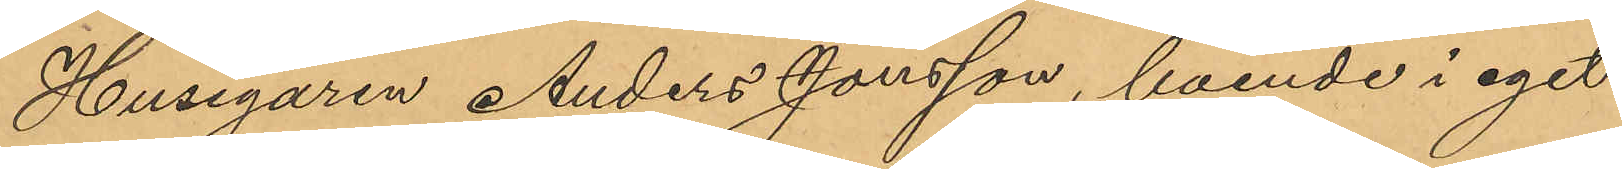Husegaren Anders Jonsson, boende i eget
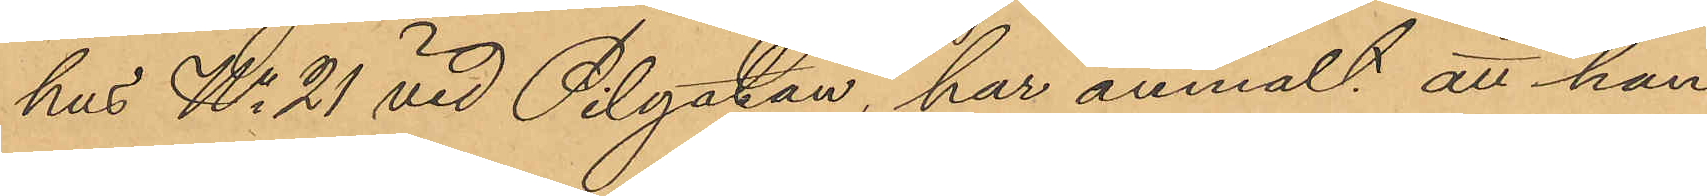hus No 21 vid Pilgatan, har anmält att han
